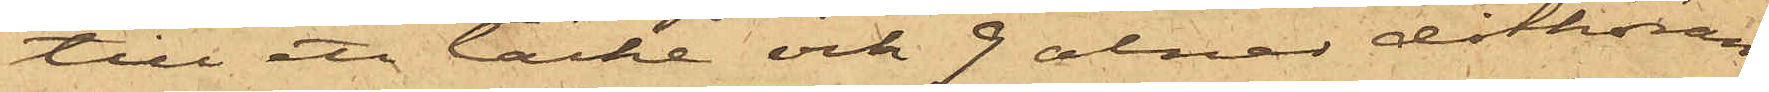till ett täcke och 9 alnar dithöran¬
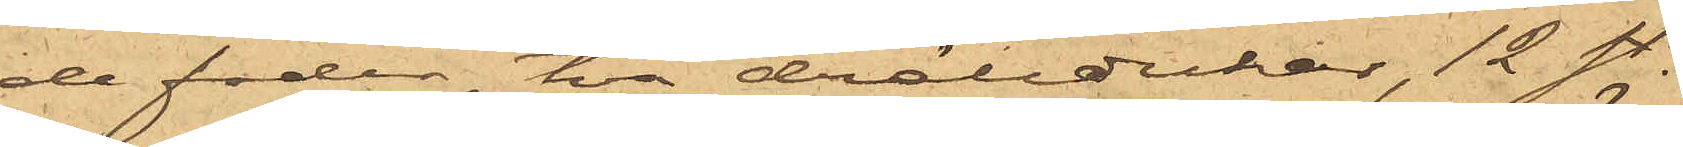de foder, två drälldukar, 12 st.
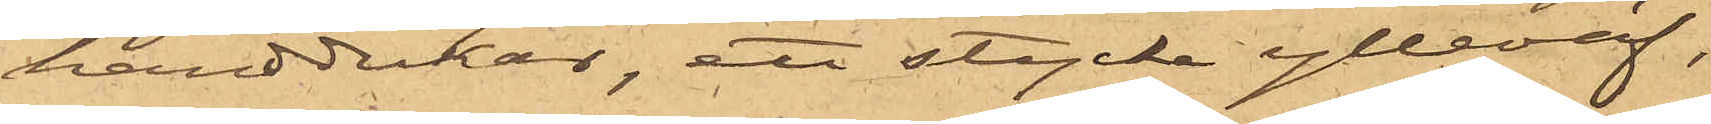handdukar, ett stycke ylleväf,
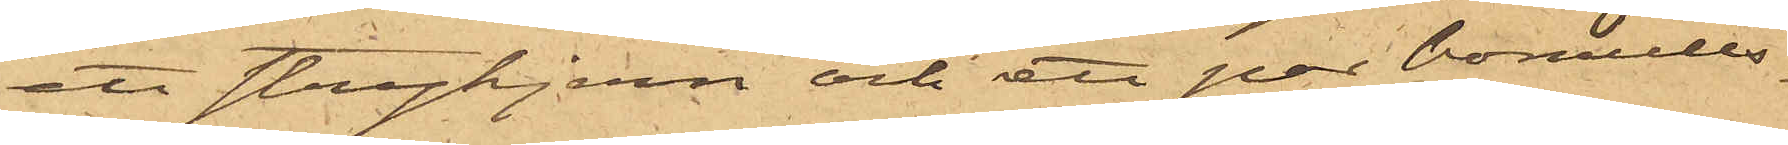ett strykjern och ett par bomulls¬
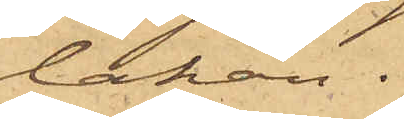lakan.
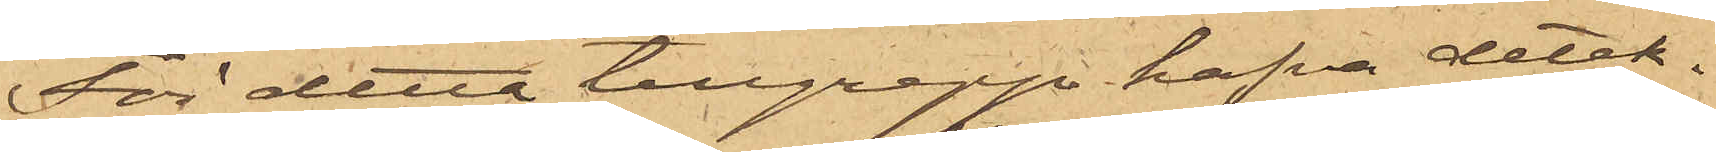För detta tillgrepp hafva detek¬
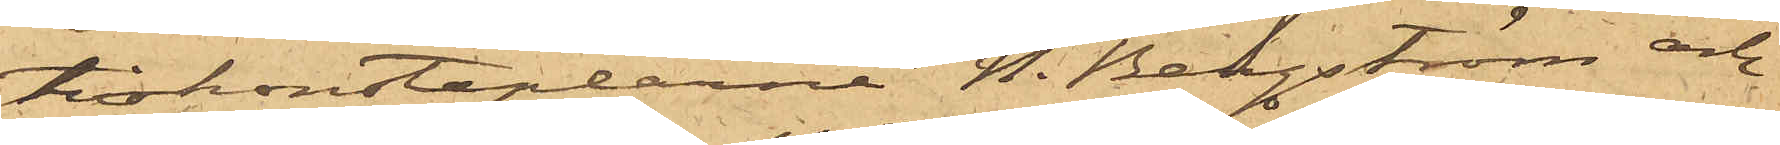tivkonstaplarne H. Bergström och
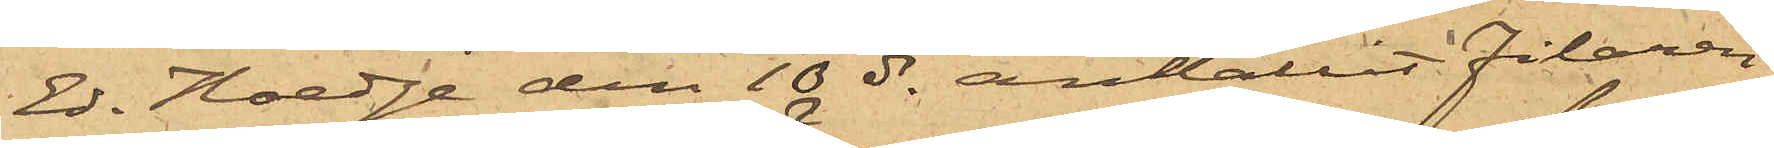Ed. Hedge den 10 ds anhållit filaren
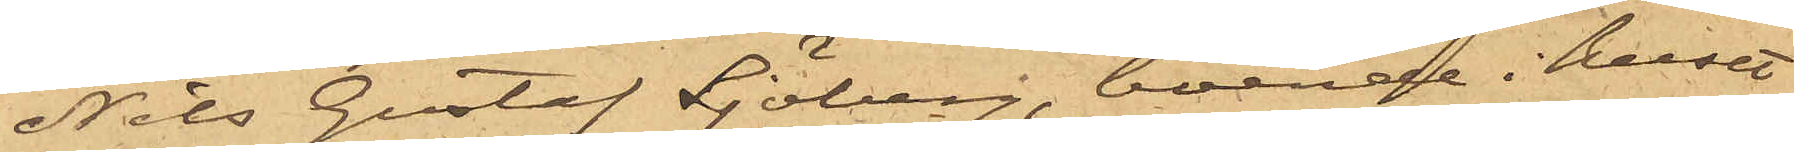Nils Gustaf Sjöberg, boende i huset
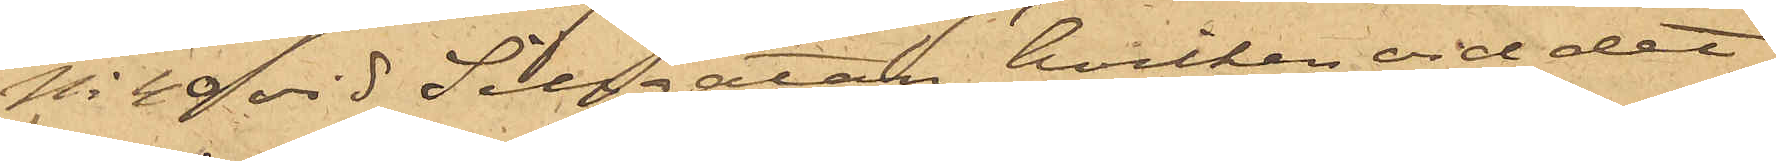No 40 vid Sillgatan, hvilken vid det
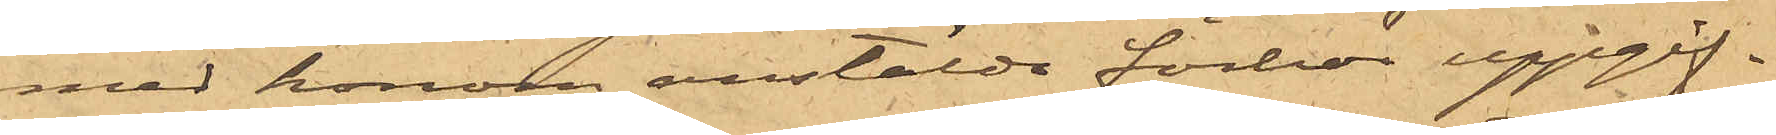med honom anstälde förhör uppgif¬
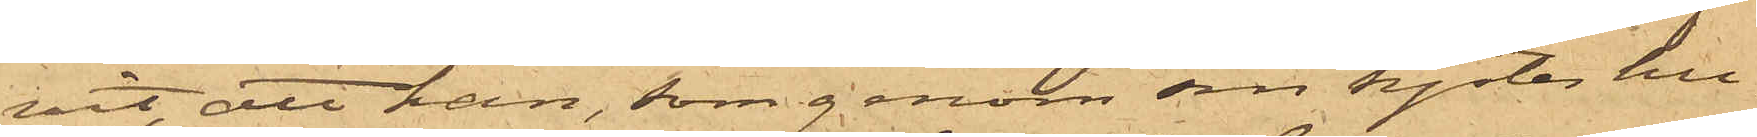vit, att han, som genom sin syster hu¬
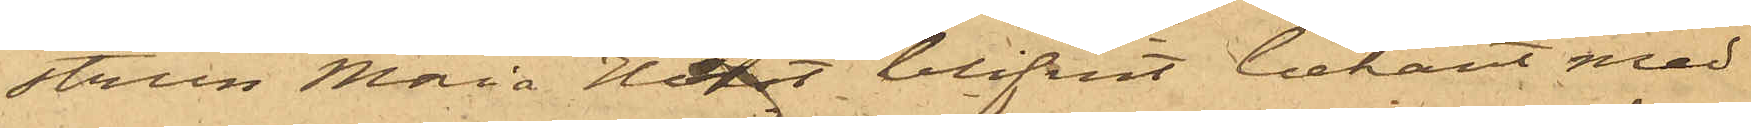strun Maria Holst blifvit bekant med
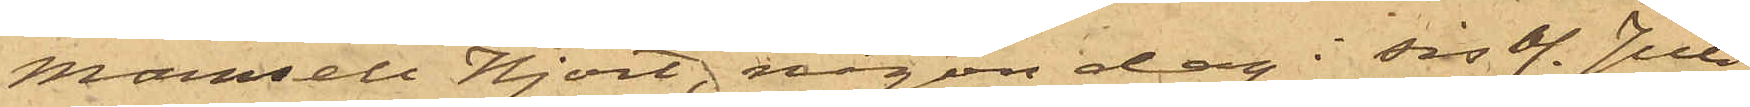Mamsell Hjort någon dag i sist. Juni
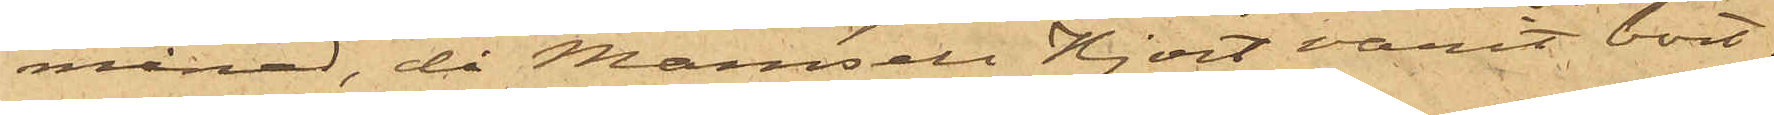månad, då Mamsell Hjort varit bort¬
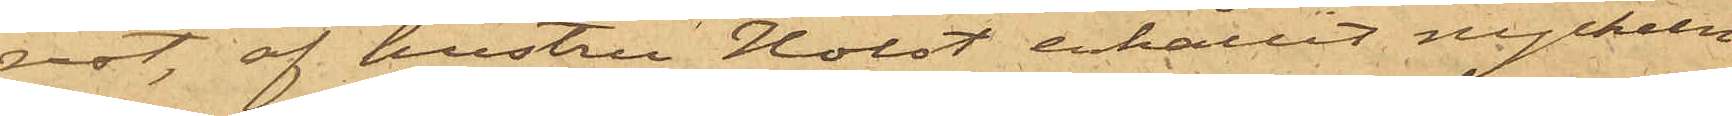rest, af hustru Holst erhållit nyckeln
